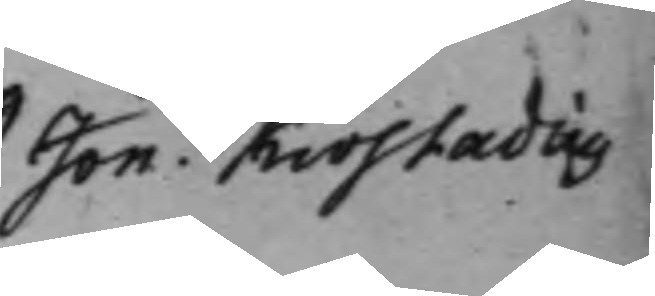Jon. Kiöstadius
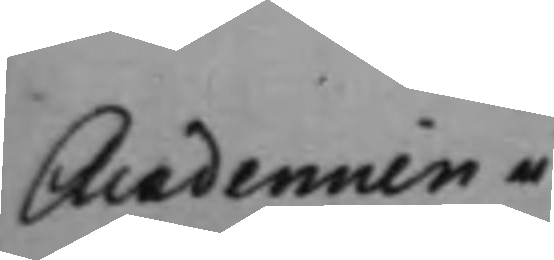Academien i
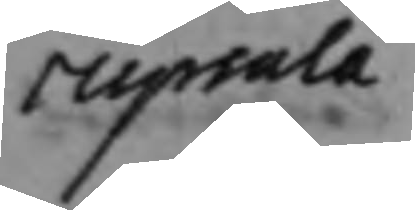Upsala
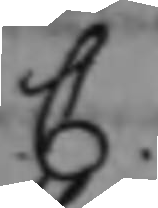C.
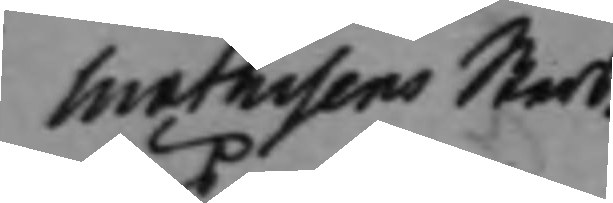Mathisens Sterb¬
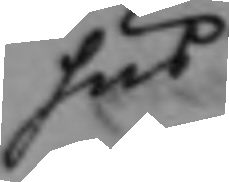hus
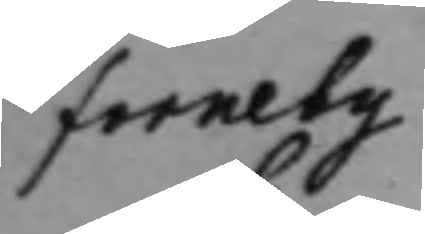Forneby
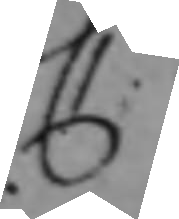C.
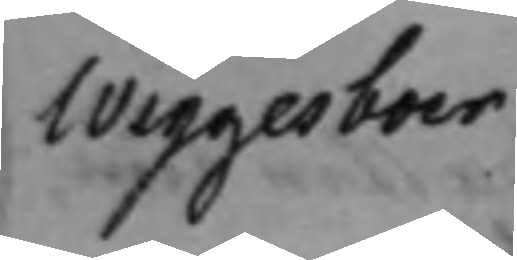Wiggesboer
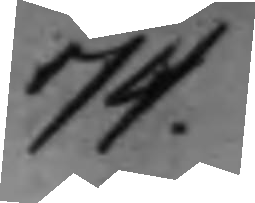74.
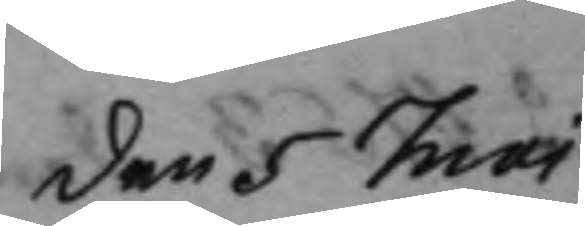den 5 Maj
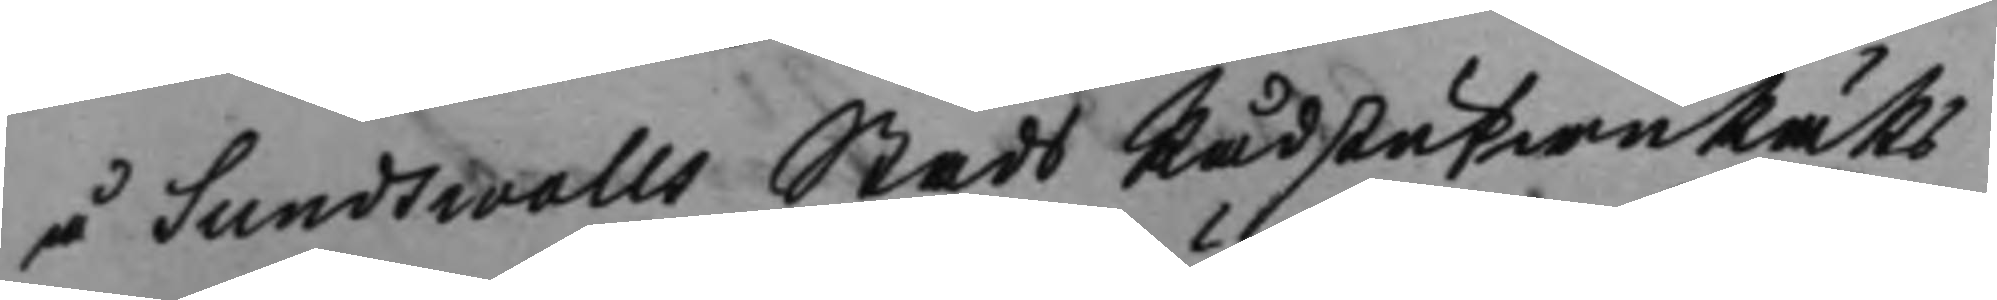å Sundswalls Stads RådstufwuRätts¬
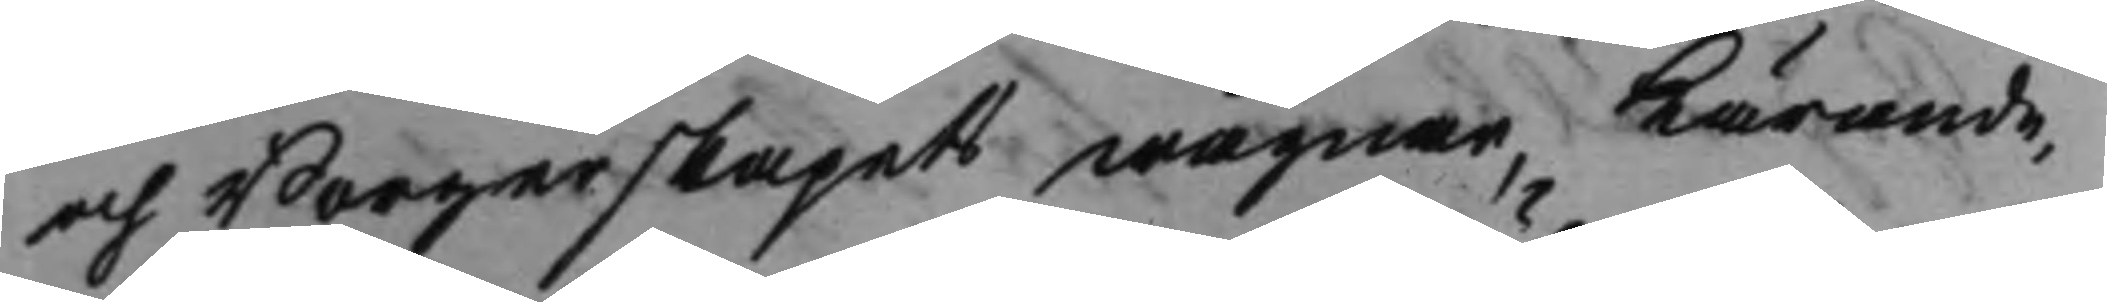och Borgerskapets wägnar, Kärande,
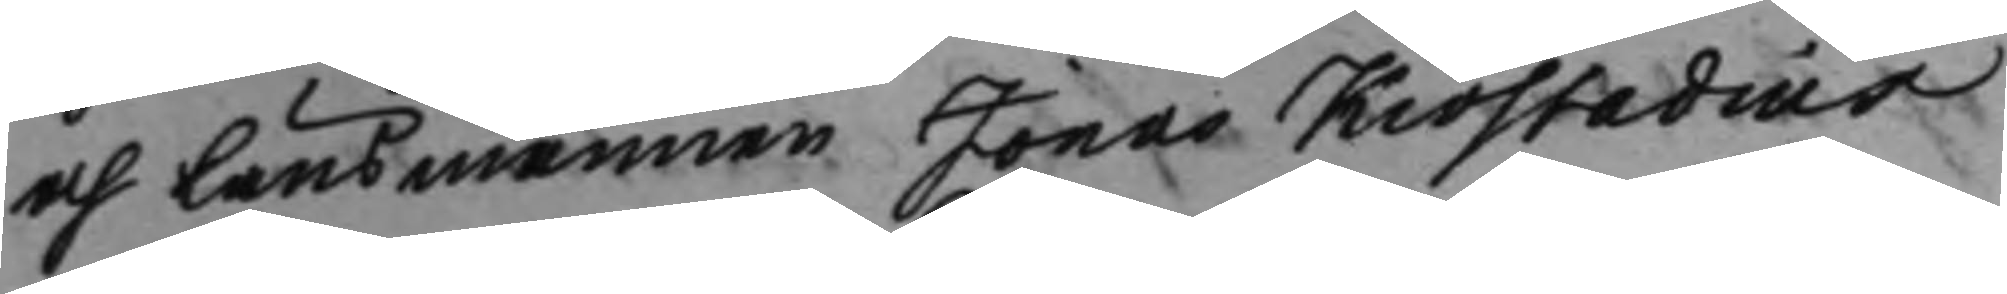och Länsmannen Jonas Kiöstadius
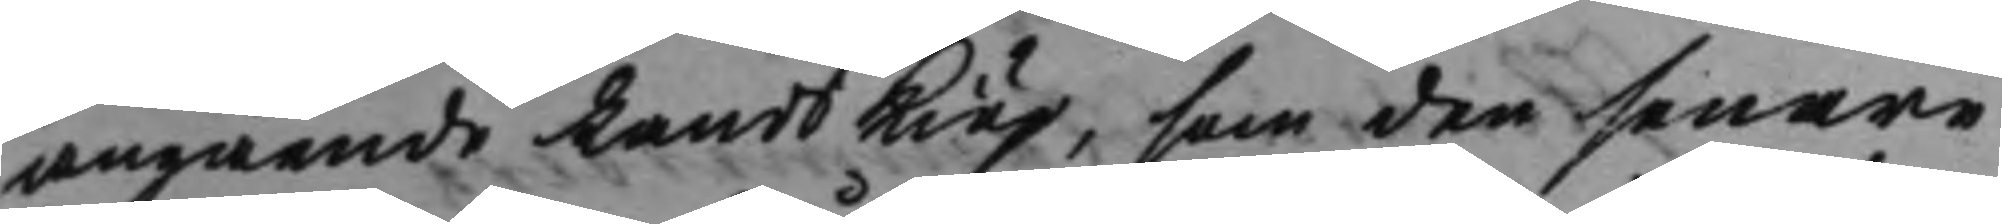angående LandsKiöp, som den senare
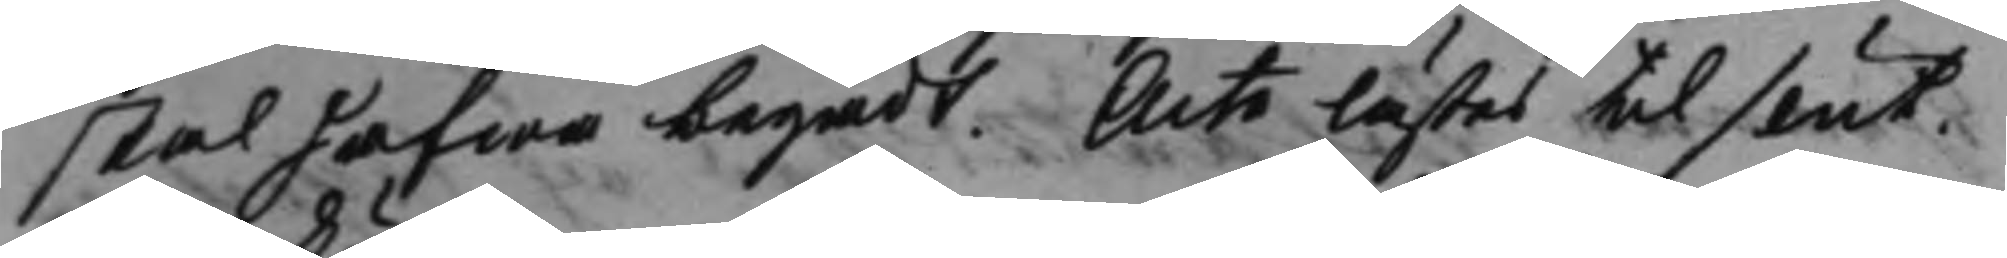skal hafwa begådt. Acta lästes til slut.
